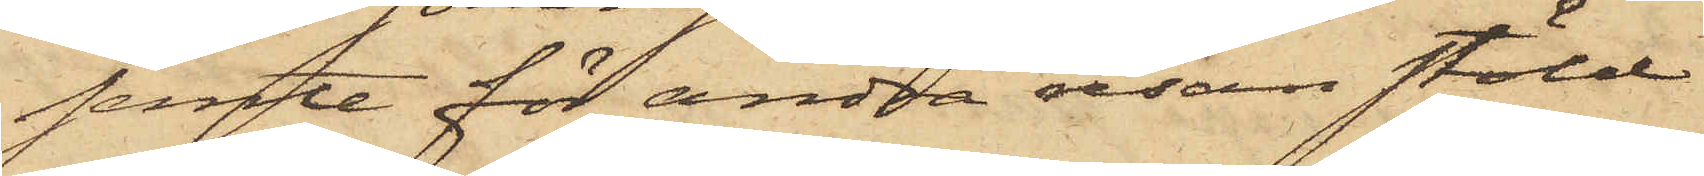jemte för andra resan stöld
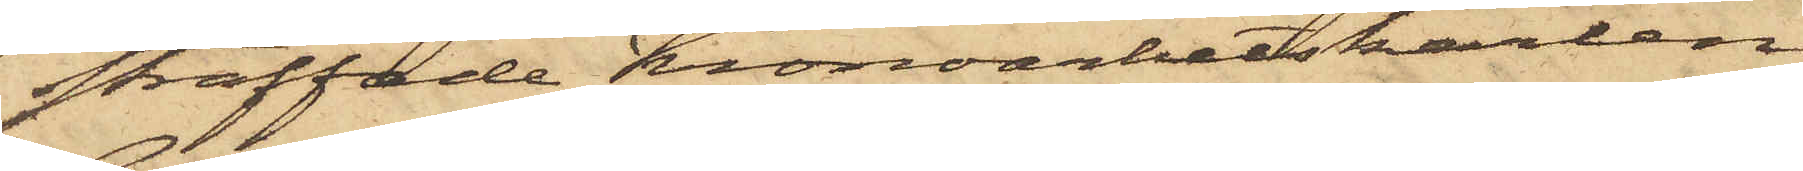straffade Kronoarbetskarlen
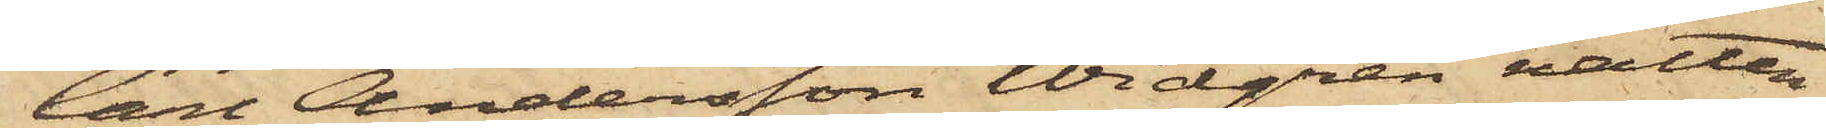Carl Andersson Widgren natten
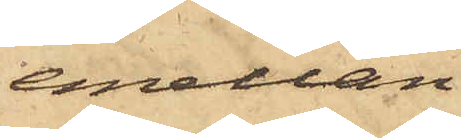emellan
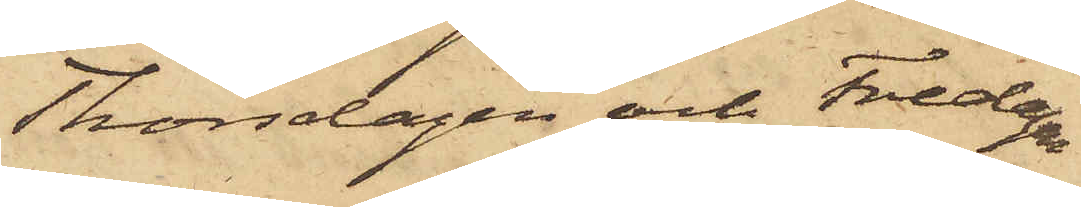Thorsdagen och Fredagen
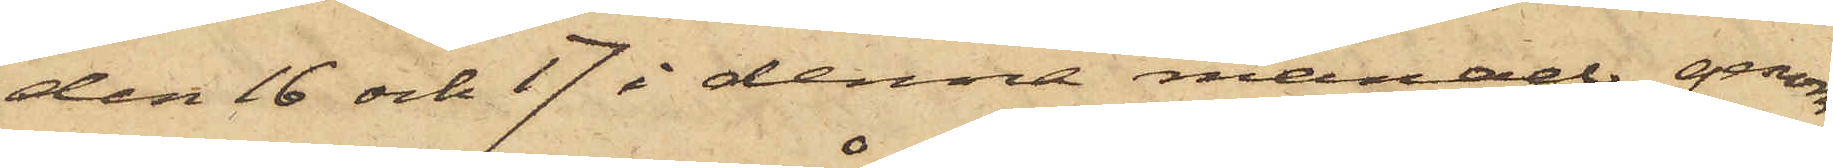den 16 och 17 i denna månad genom
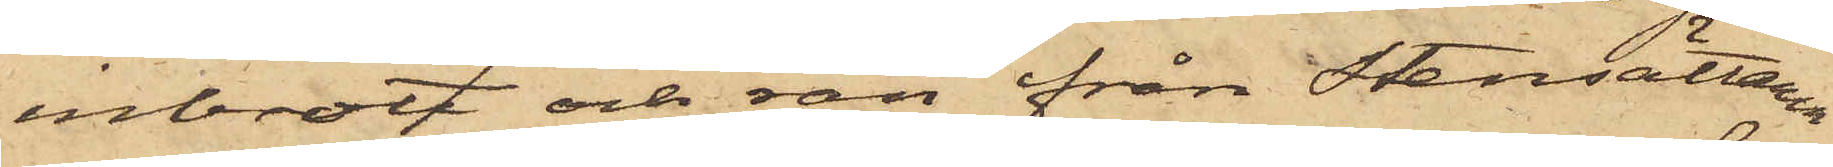inbrott och rån från Stensättaren
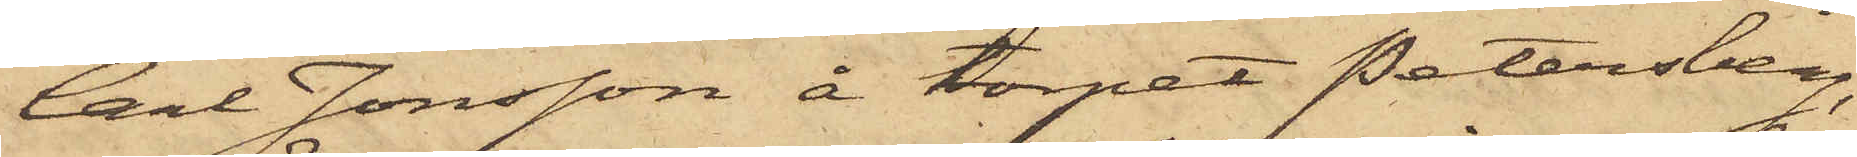Carl Jonsson å torpet Petersberg,
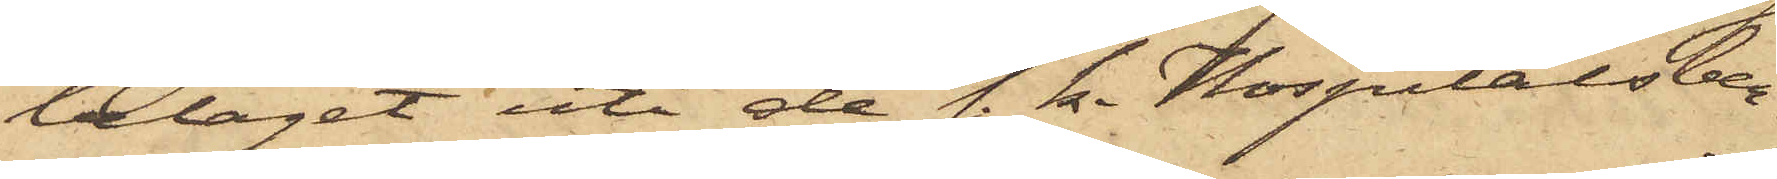beläget uti de s. k. Hospitalsber¬
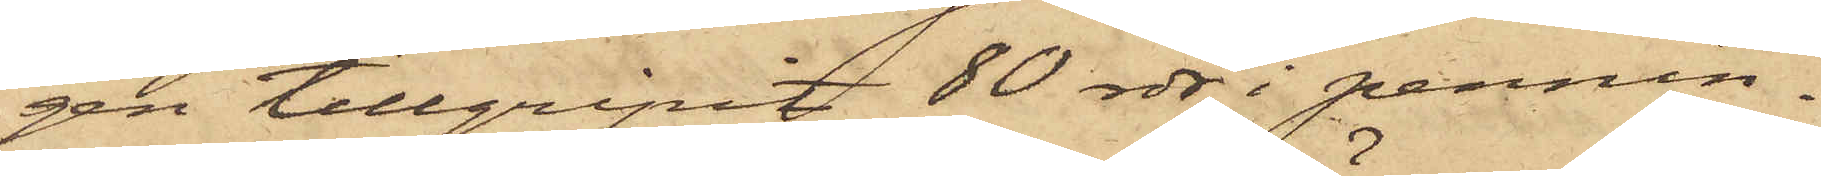gen tillgripit 80 rdr i pennin¬
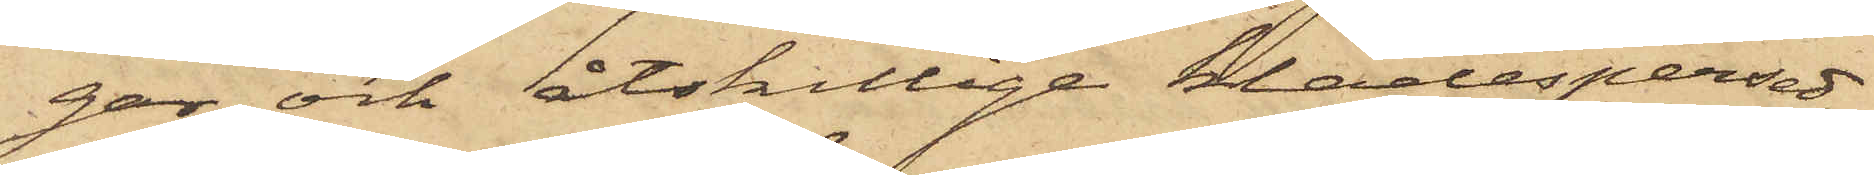gar och åtskillige klädespersed¬
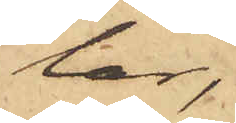lar,
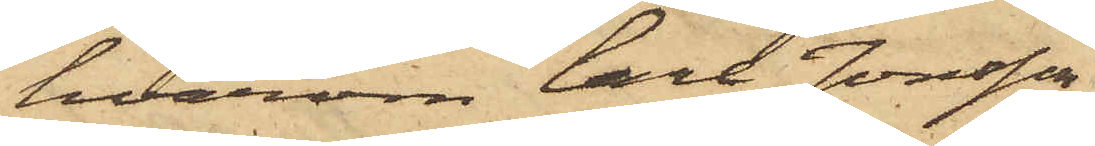hvarom Carl Jonsson
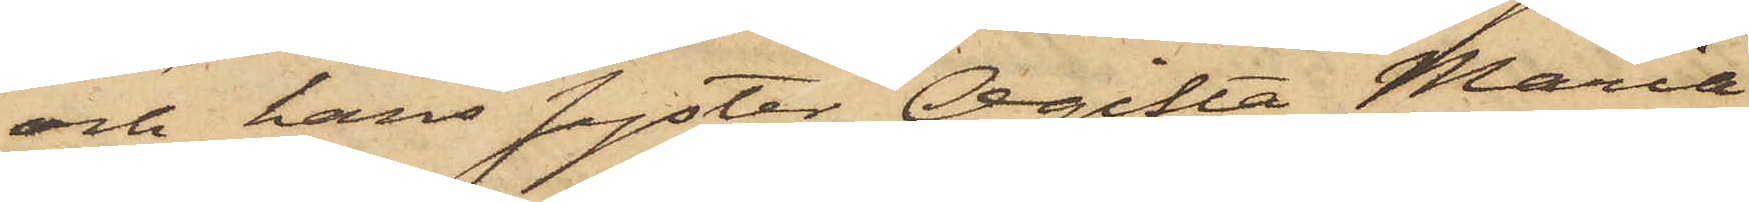och hans syster Ogifta Maria
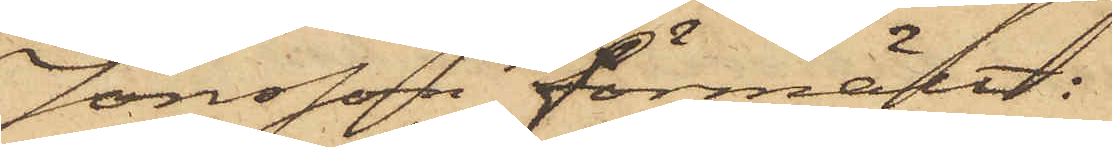Jonsson förmält:
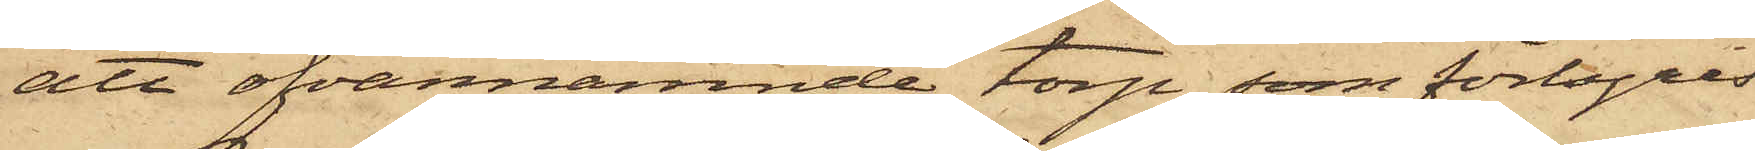att ofvannämnde torp, som förhyres
